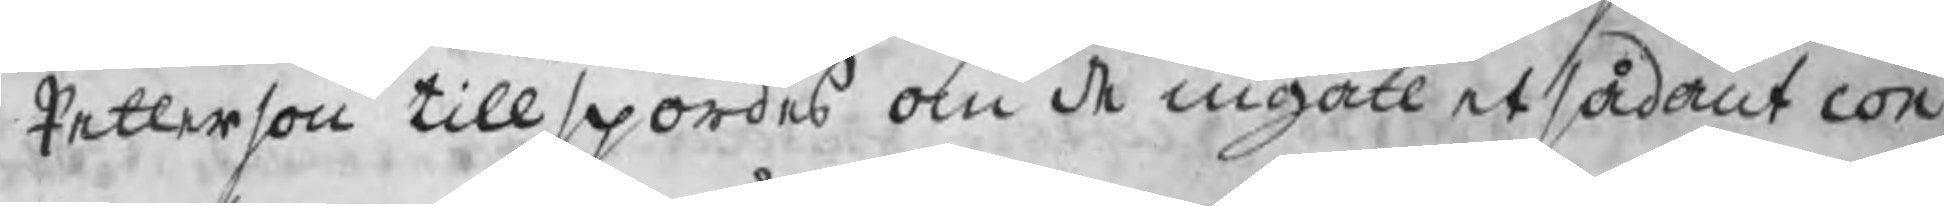Petterson tillspordes om de ingått et sådant con
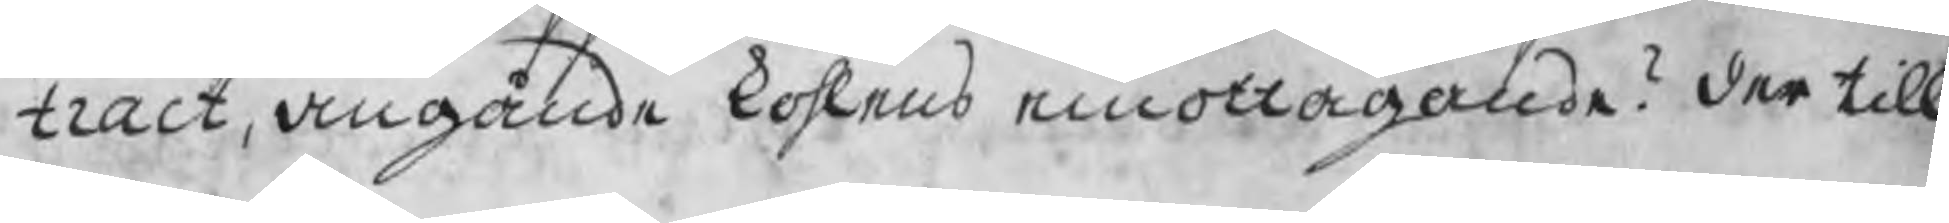tract, angående kohlens emottagande? der till
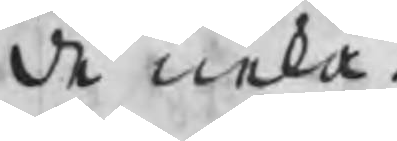de neka.
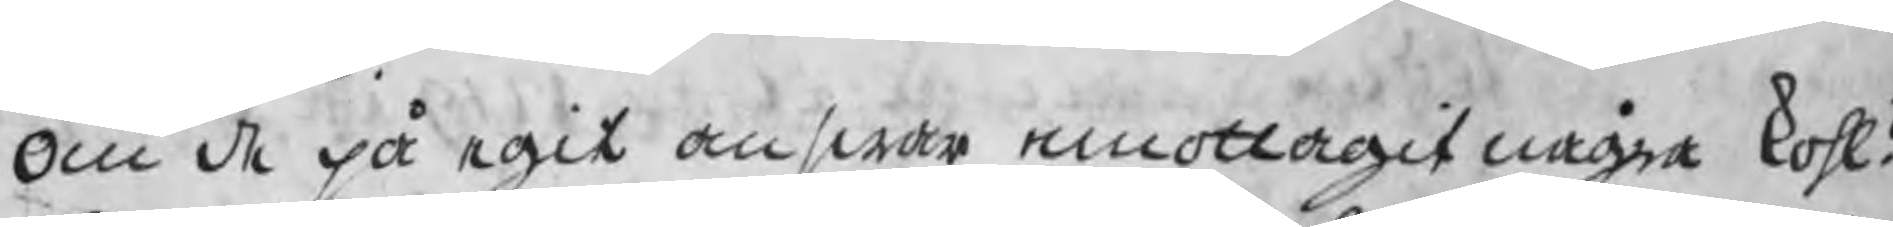Om de på egit answar emottagit några kohl?
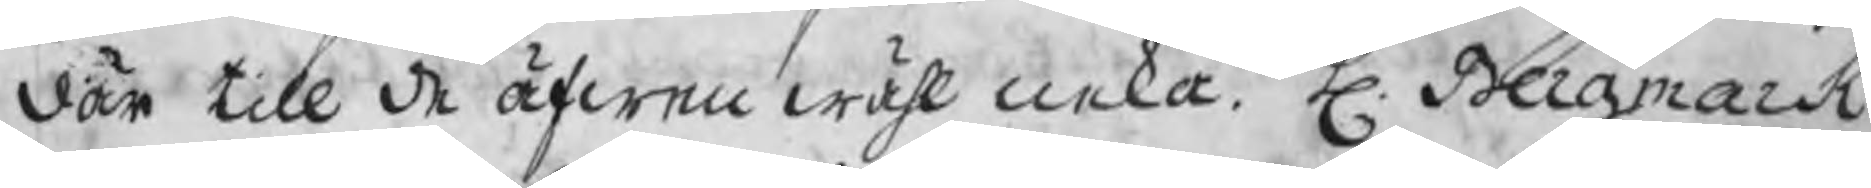där till de äfwen wähl neka. H. Bergmark
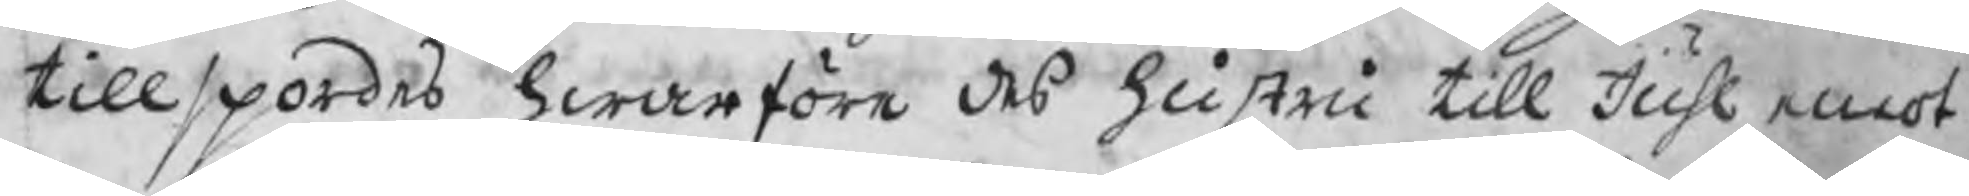tillspordes hwarföre des hustru till Juhl emot¬
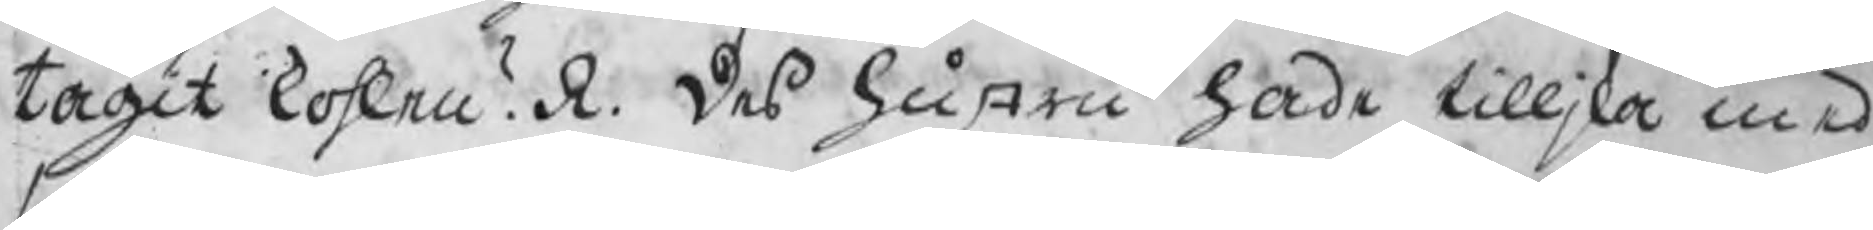tagit kohlen? R. des hustru hade tilljka med
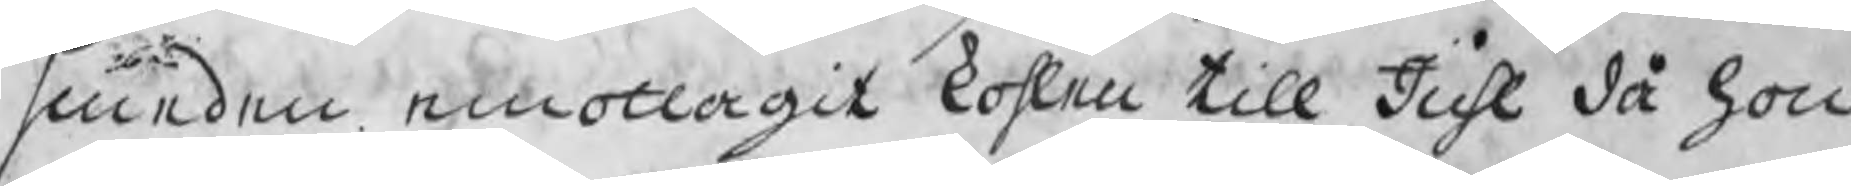smeden emottagit kohlen till Juhl då hon
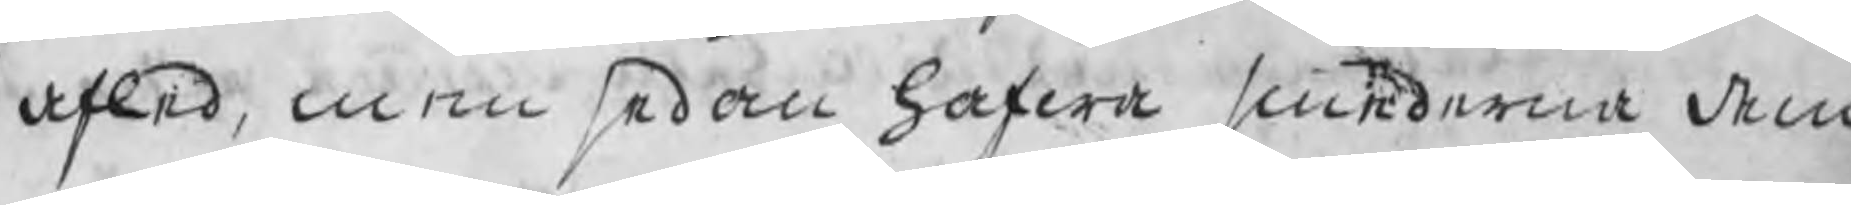afled, men sedan hafwa smederna dem
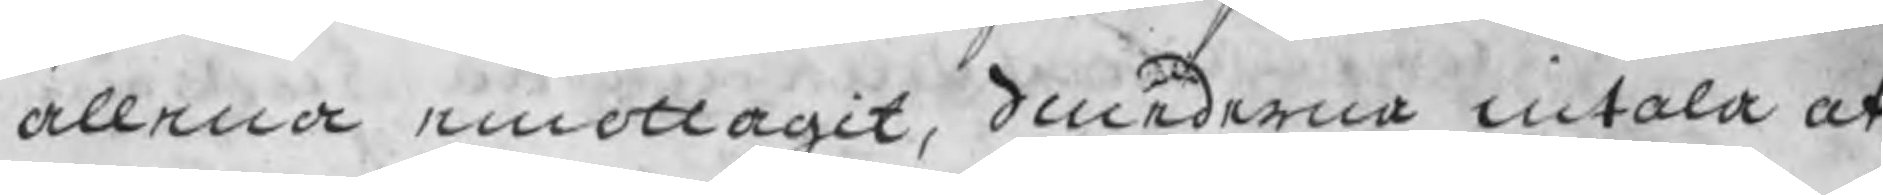allena emottagit, Smederna intala at
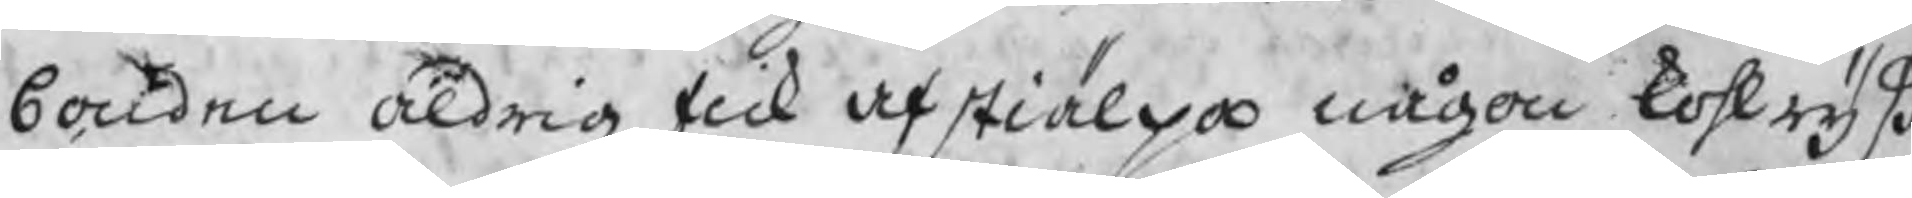bonden aldrig fick afstiälpa någon kohlryß
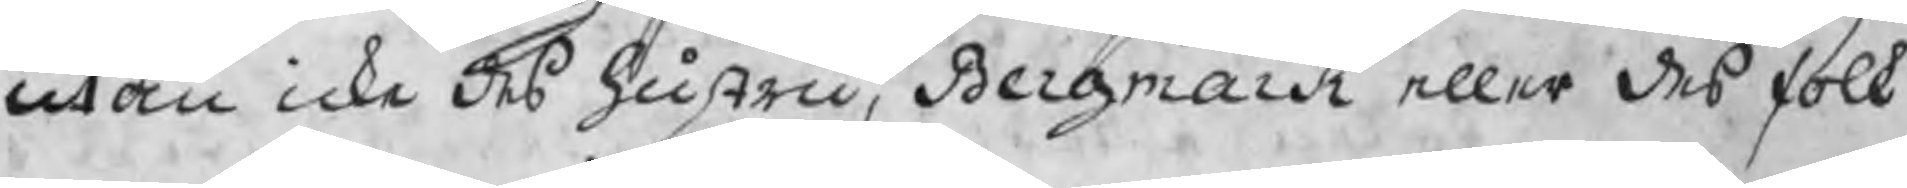utan icke des hustru, Bergmark eller des folk
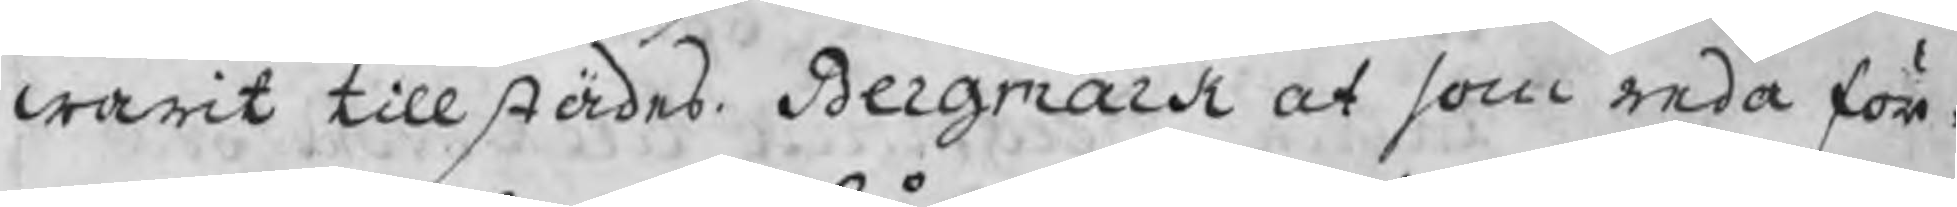warit tillstädes. Bergmark at som enda för¬
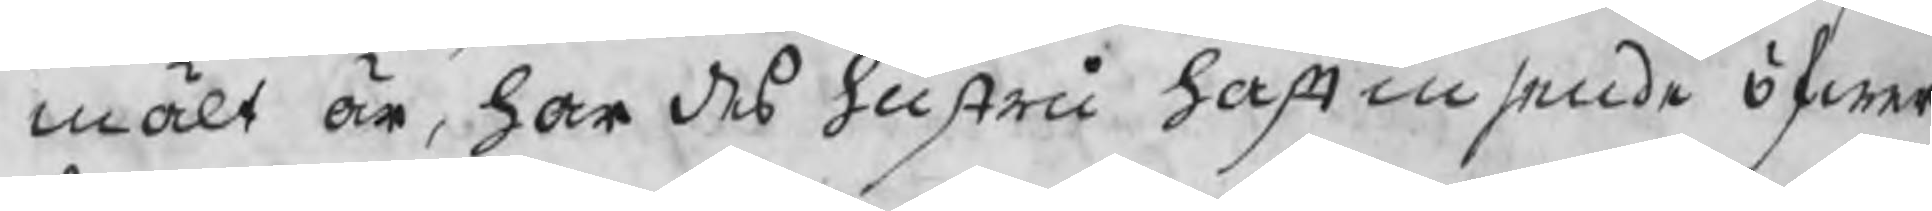mält är, har des hustru haft insende öfwer
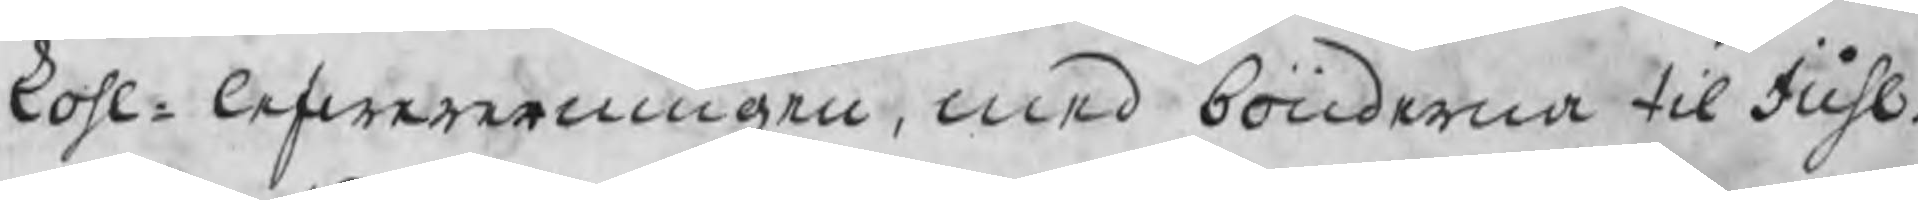kohl¬lefwereringen, med bönderna til Juhl.
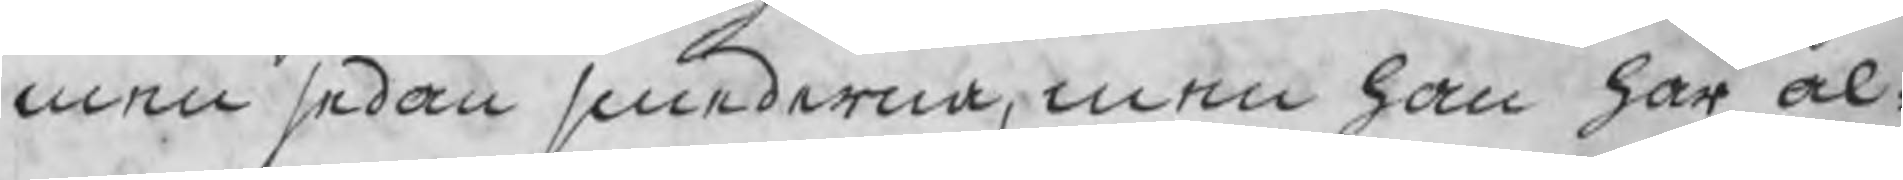men sedan smederna, men han har al¬
